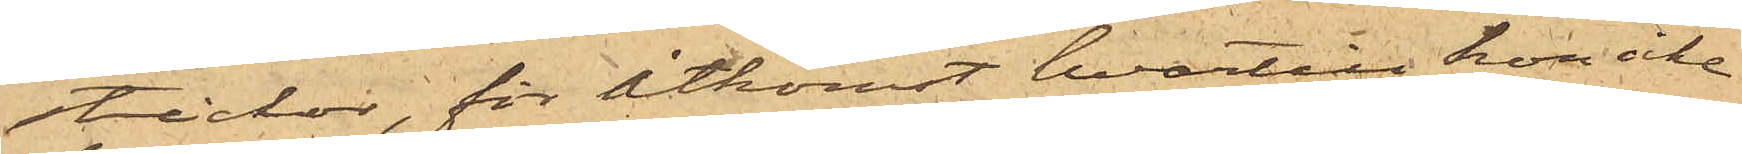stickor, för åtkomst hvartill hon icke
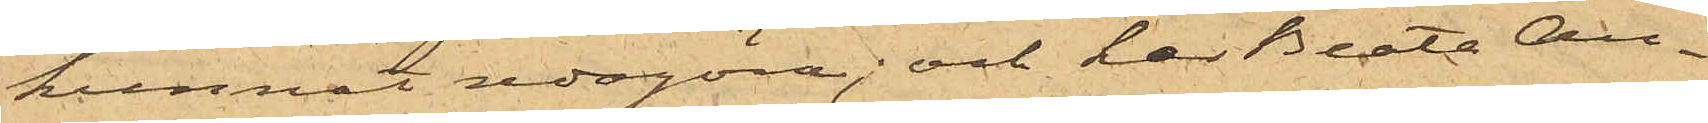kunnat redogöra; och har Beata An¬
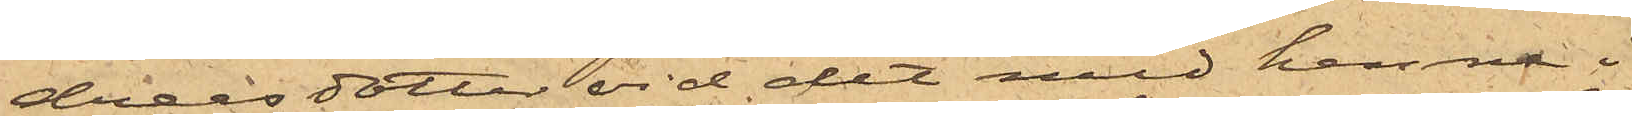dreasdotter vid det med henne i
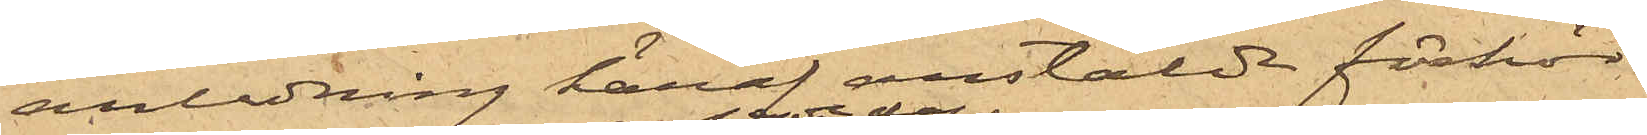anledning häraf anstälde förhör
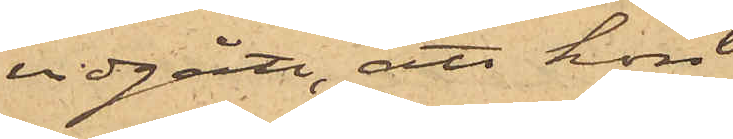vidgått, att hon
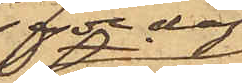sagde dag
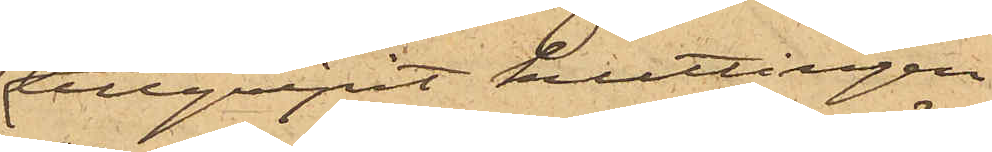tillgripit kuttingen
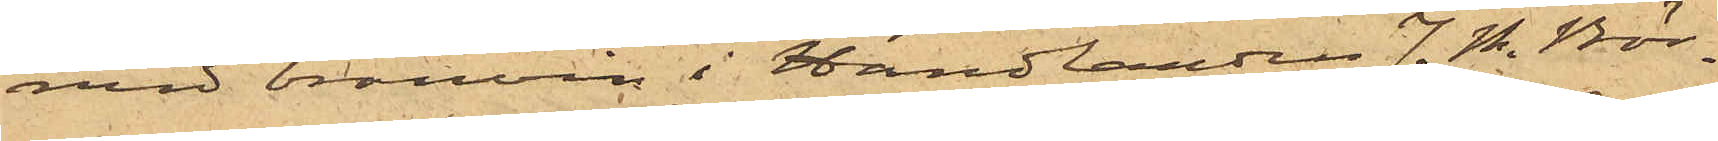med bränvin i Handlanden J. N. Bör¬
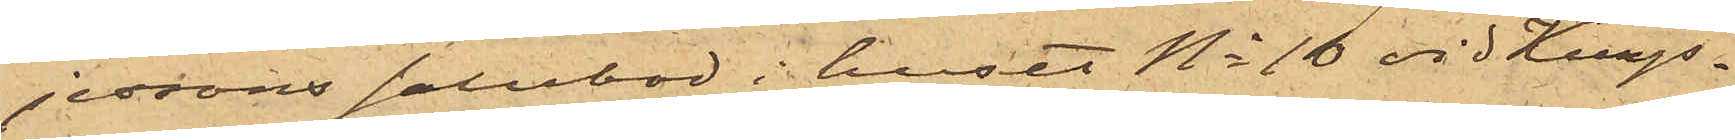jessons salubod i huset No 10 vid Kungs¬
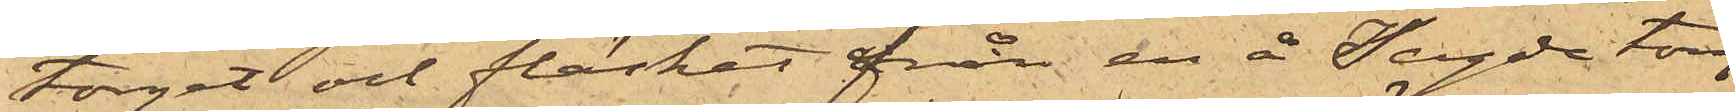torget och fläsket från en å sagde torg
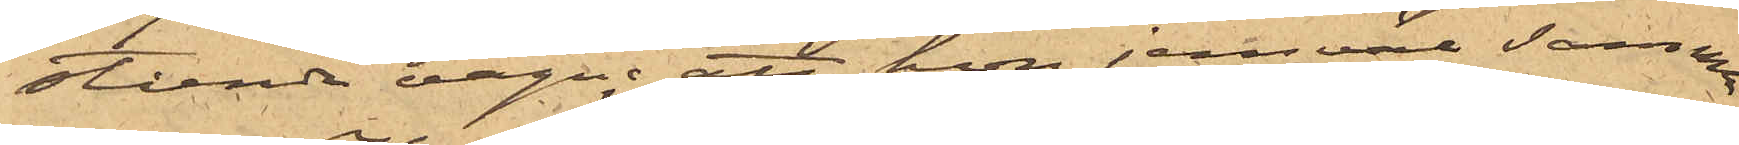stående vagn; att hon jemväl samma
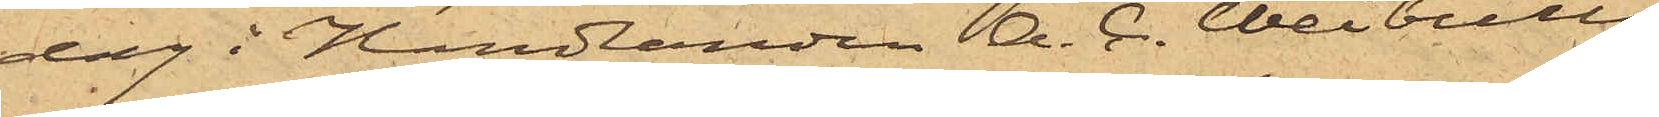dag i Handlanden A. C. Weibulls
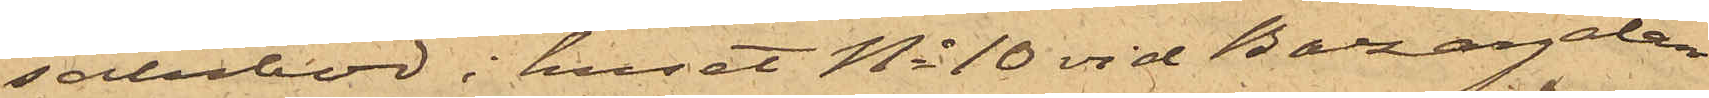salubod i huset No 10 vid Bazargatan
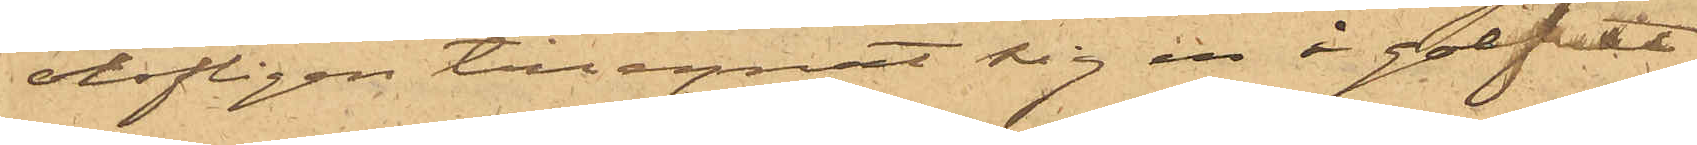olofligen tillegnat sig en å golfvet
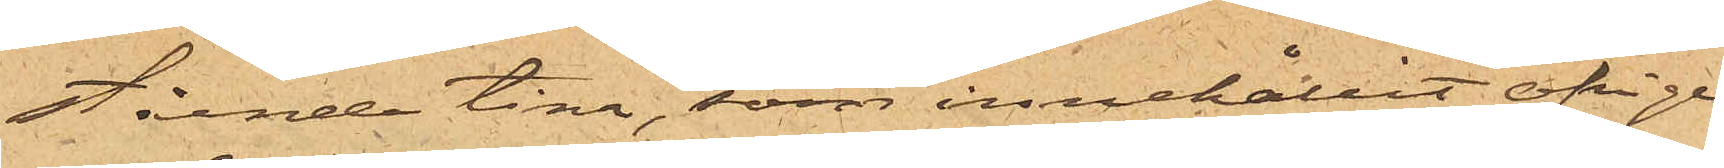stående tina, som innehållit öfrige
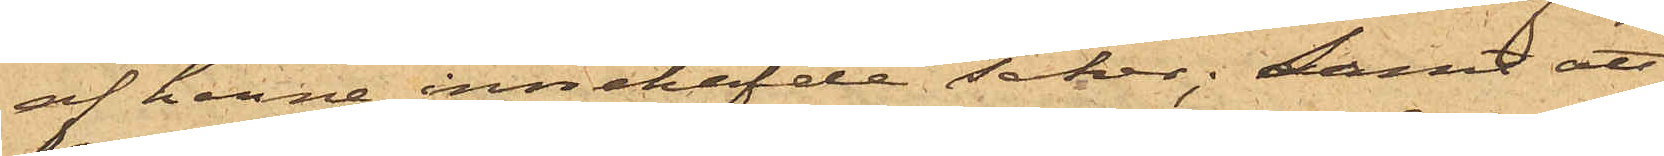af henne innehafde saker; samt att
